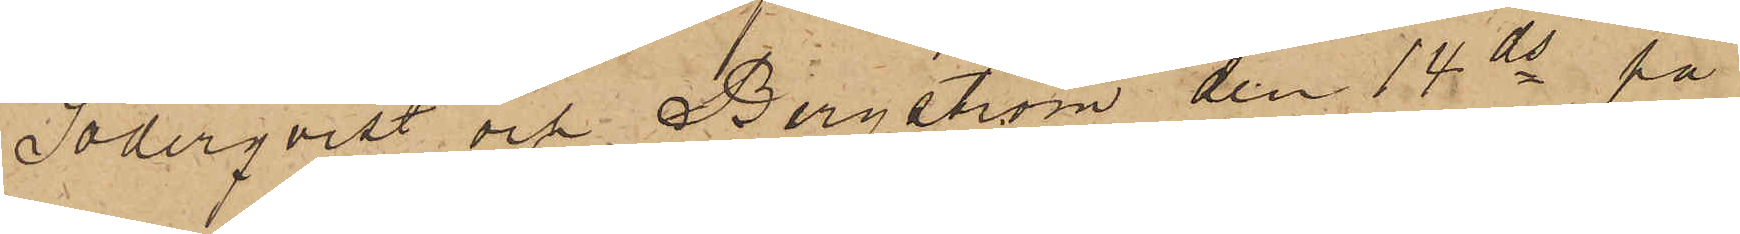Söderqvist och Bergström den 14 ds på
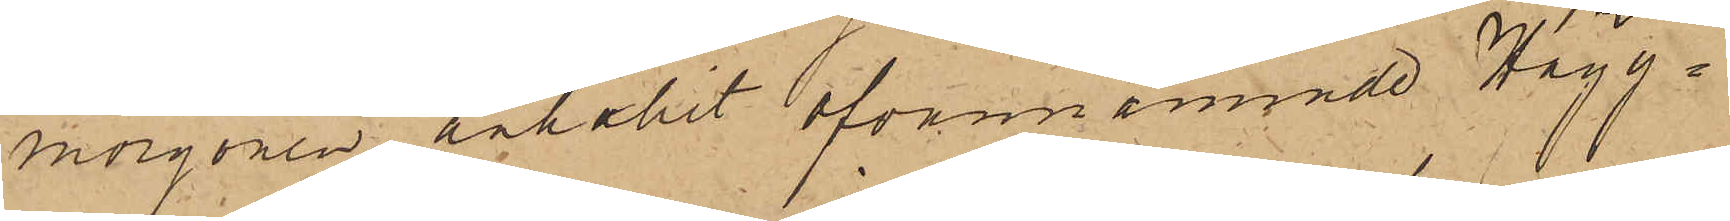morgonen anhållit ofvannämnde Hägg¬
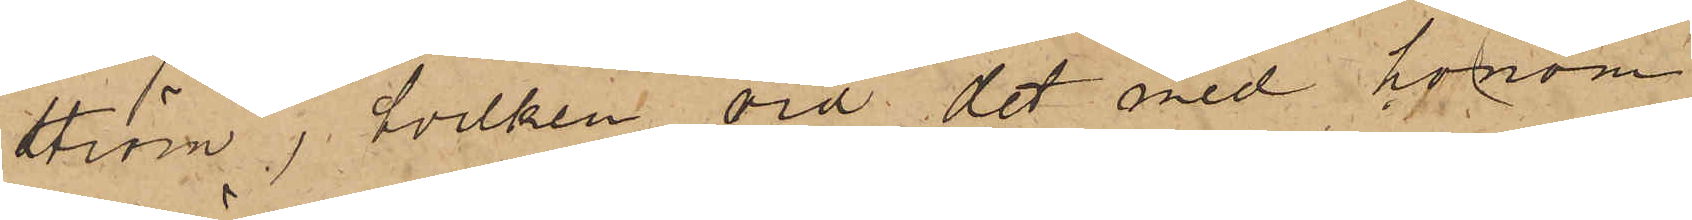ström, hvilken vid det med honom
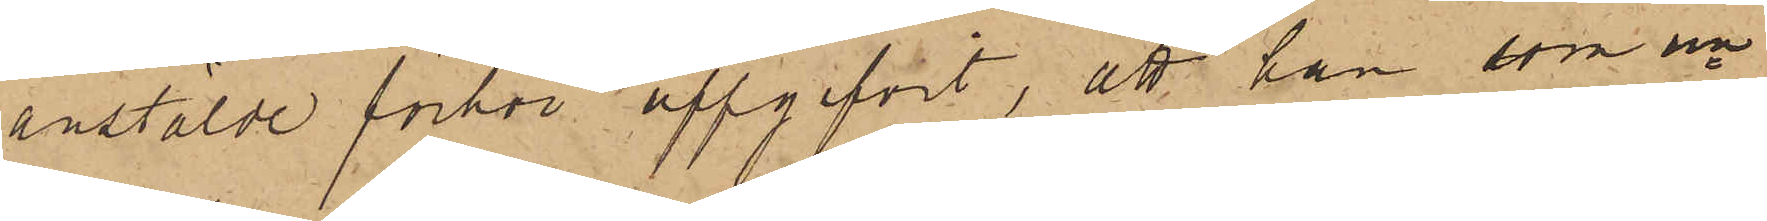anstälde förhör uppgifvit, att han som un¬
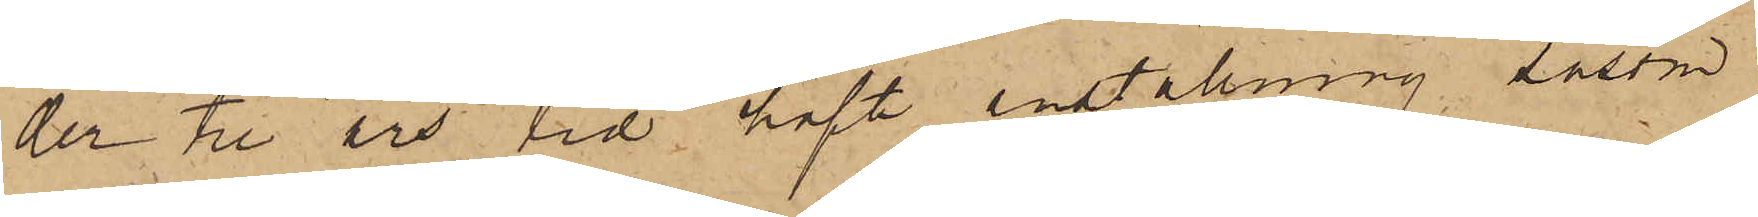der tre års tid haft anställning såsom
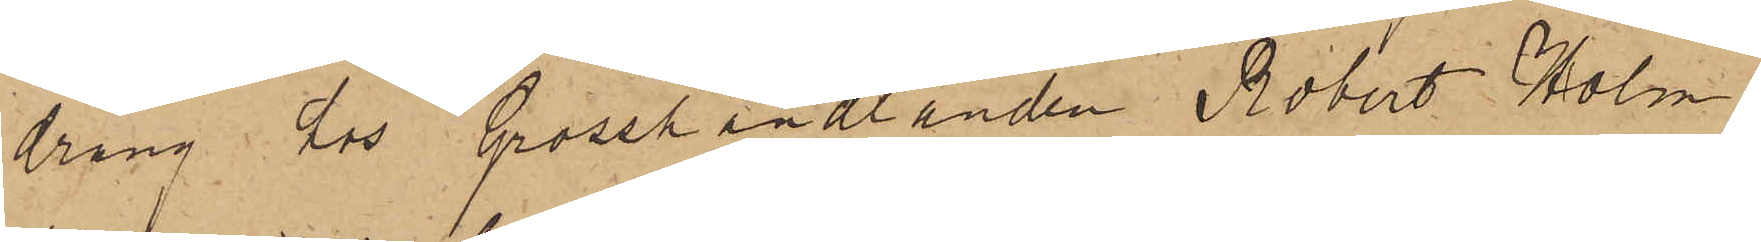dräng hos Grosshandlanden Robert Holm¬
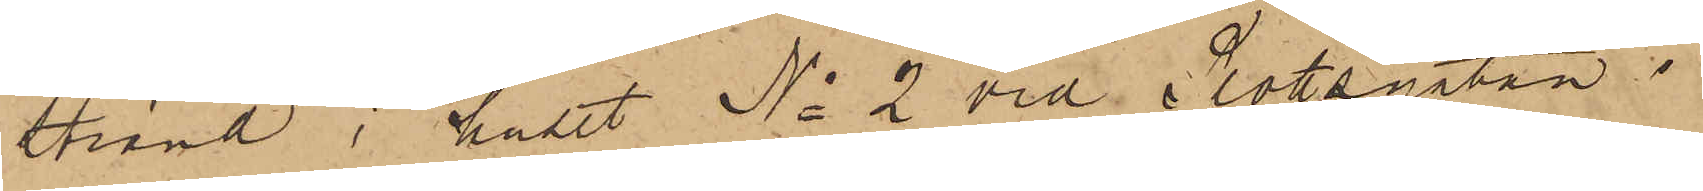strand i huset No 2 vid Slottsgatan i
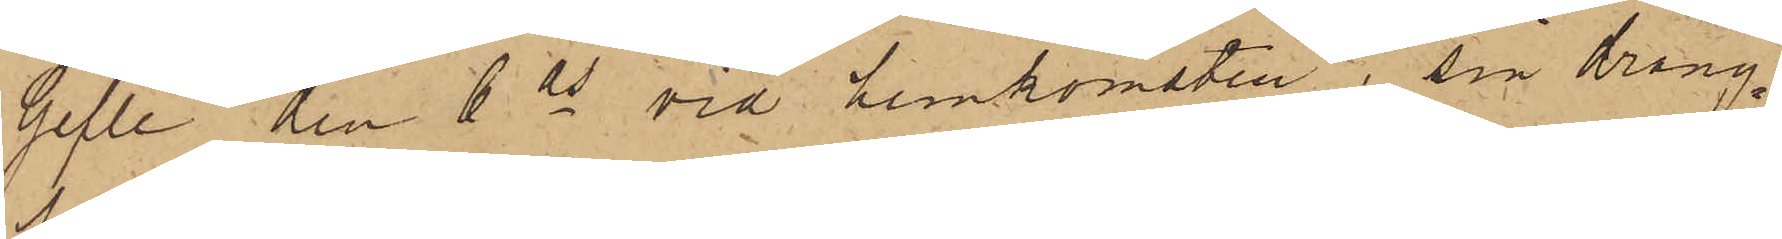Gefle den 6 ds vid hemkomsten i sin dräng¬
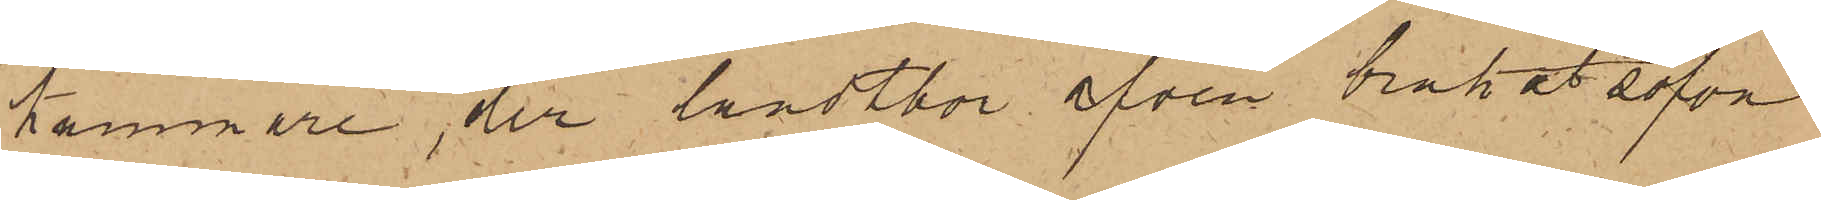kammare, der landtbor äfven brukat sofva
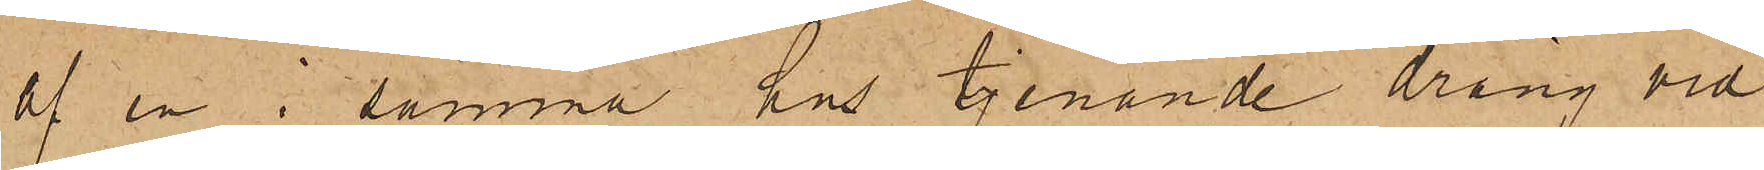af en i samma hus tjenande dräng vid
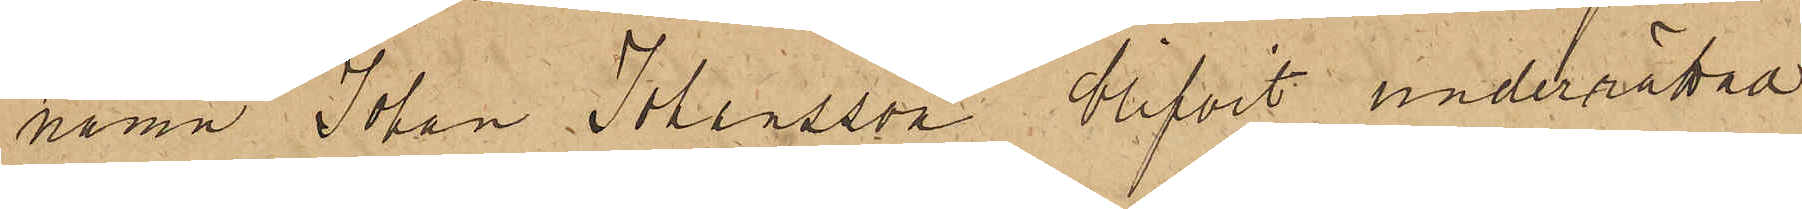namn Johan Johansson blifvit underrättad
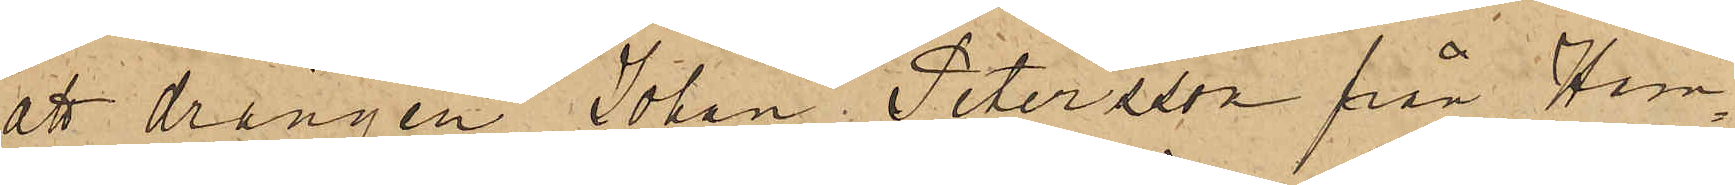att drängen Johan Petersson från Ham¬
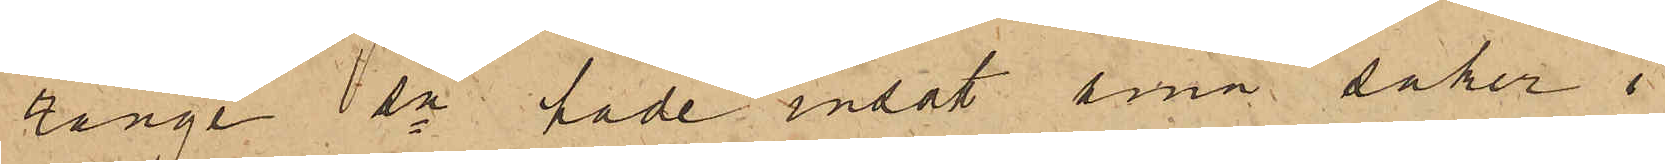rånge sn hade insatt sina saker i
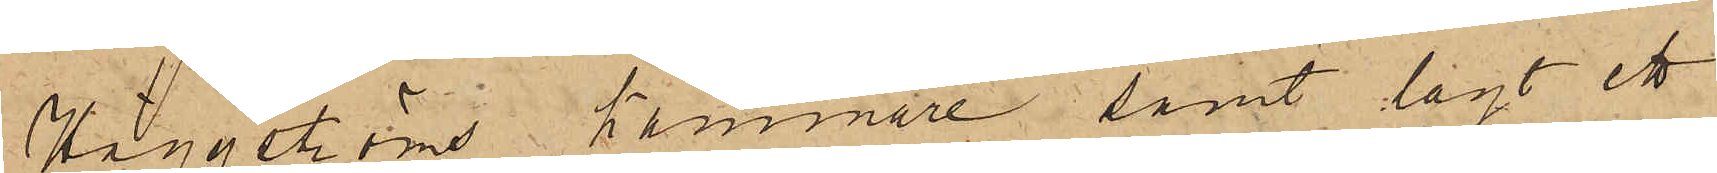Häggströms kammare samt lagt ett
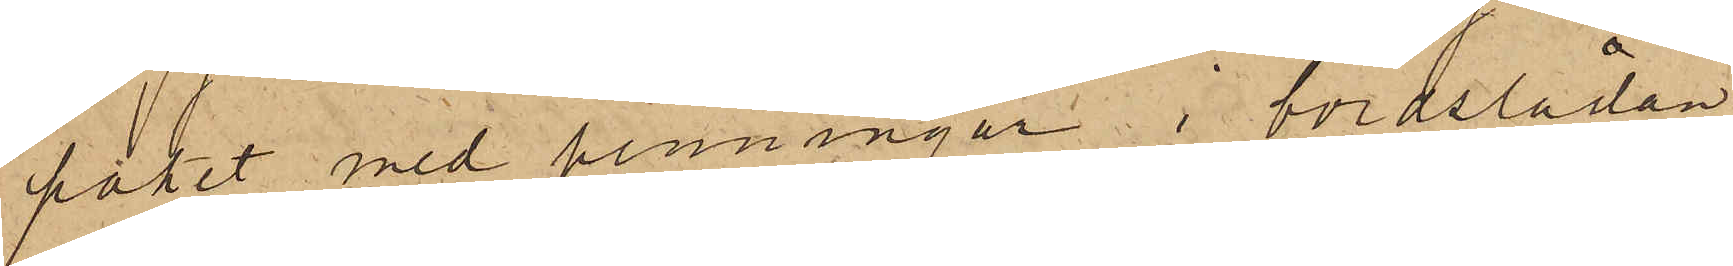paket med penningar i bordslådan
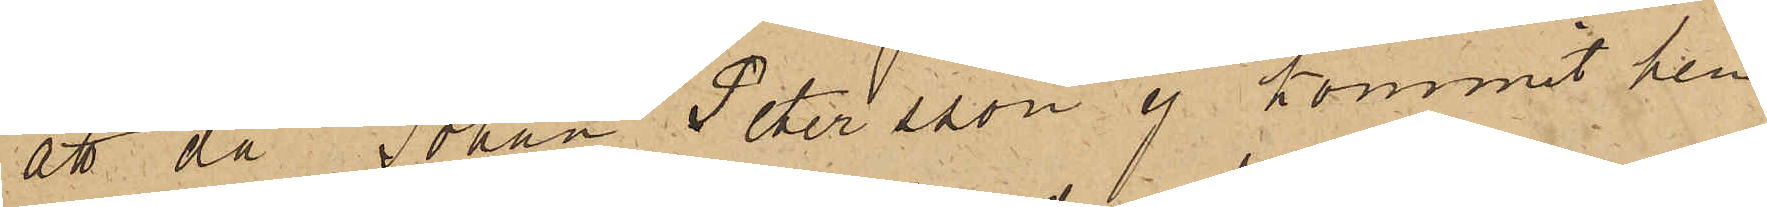att då Johan Petersson ej kommit hem
